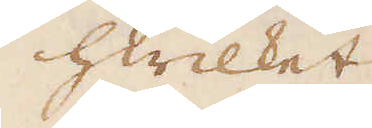hwilket
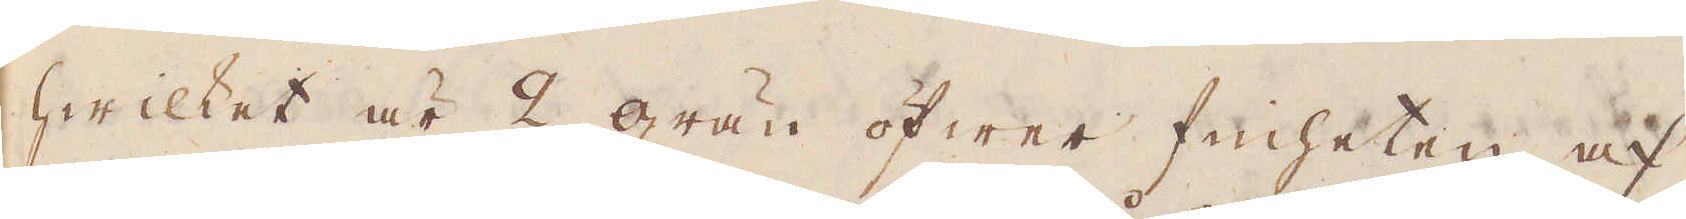hwilket är 2 grän öfwer finheten af
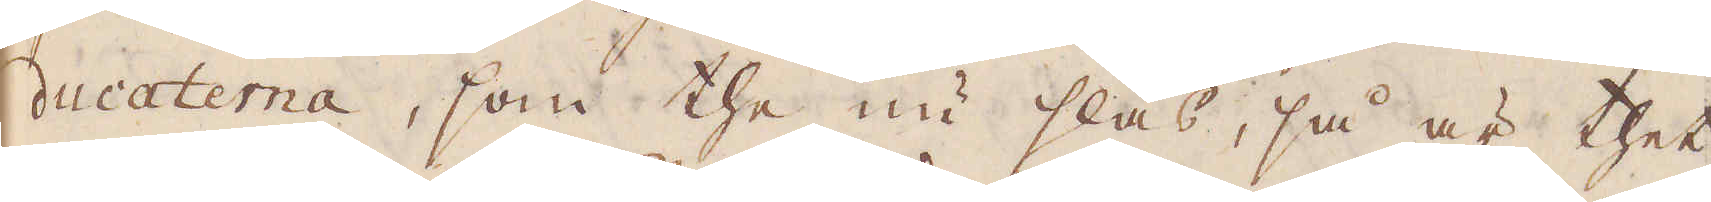ducaterna, som the nu slås, så är thet
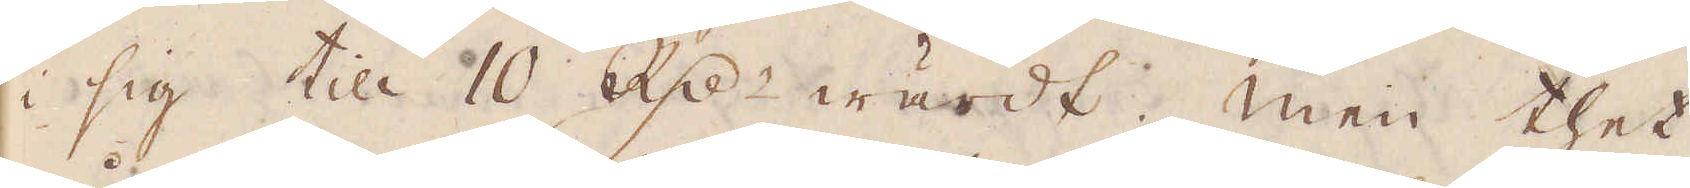i sig till 10 R:dr wärdt. Men thet
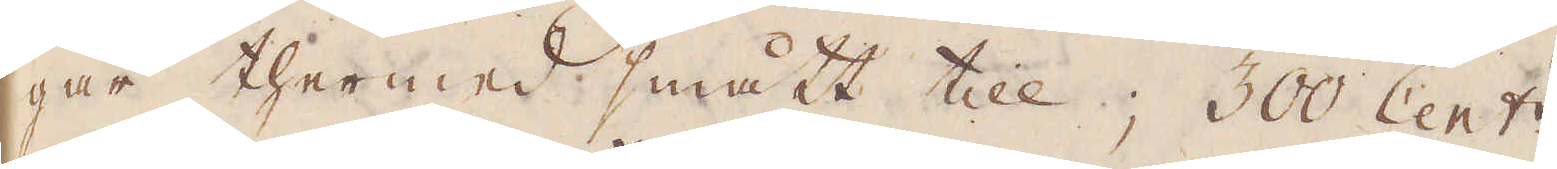går thermed smått till; 300 Cent:r
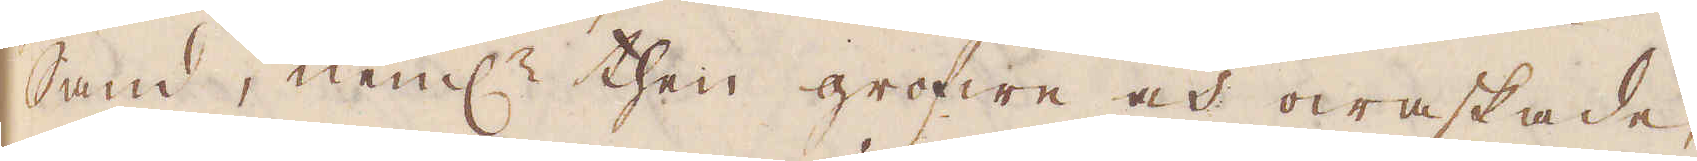Sand, neml:n then grofwe och owaskade,
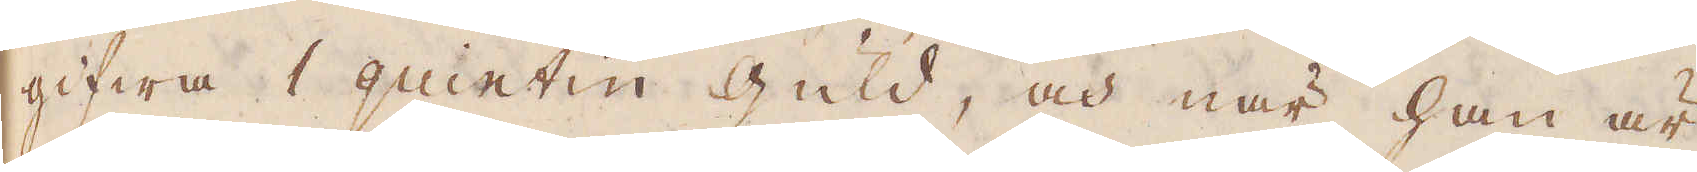gifwa 1 quintin Guld, och när han är
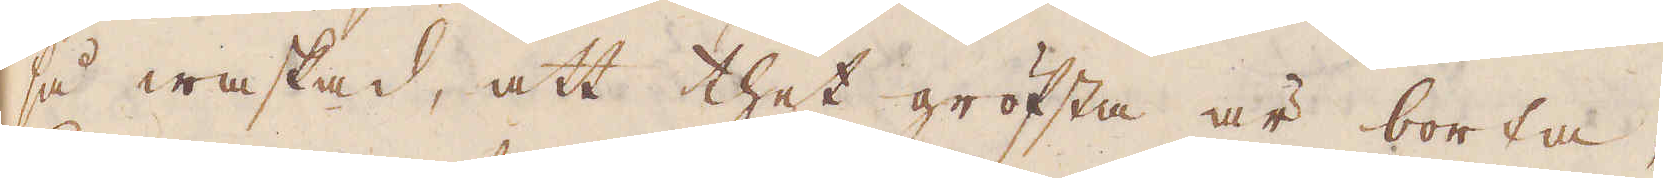så waskad, att thet gröfsta är borta,
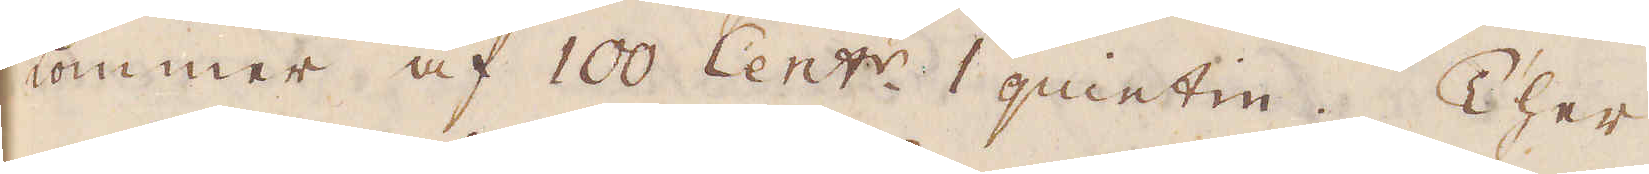kommer af 100 Cent:r 1 quintin. Ther
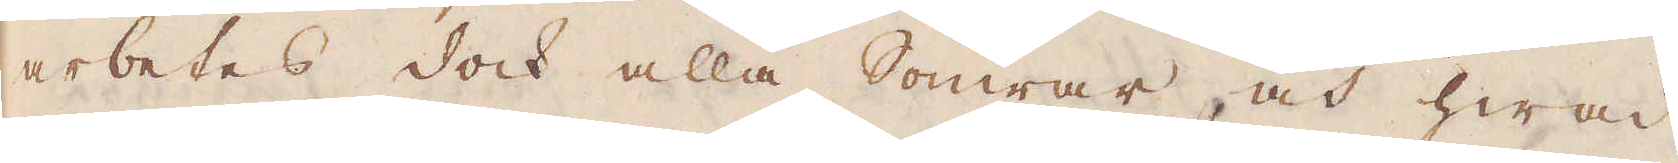arbetes dock alla Somrar, och hwad
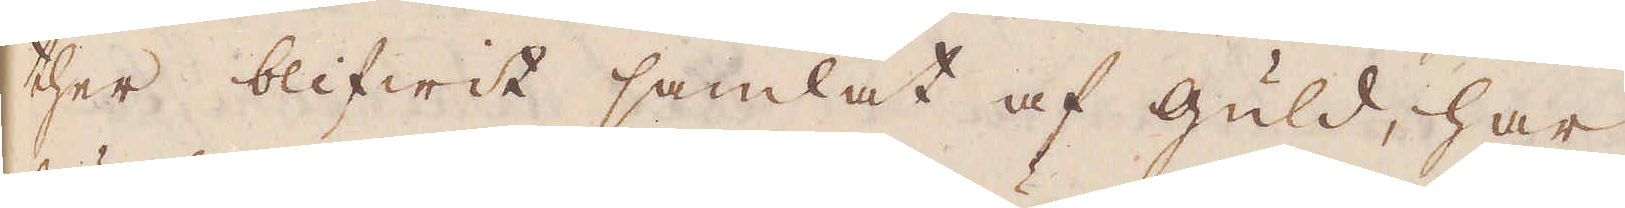ther blifwit samlat af Guld, har
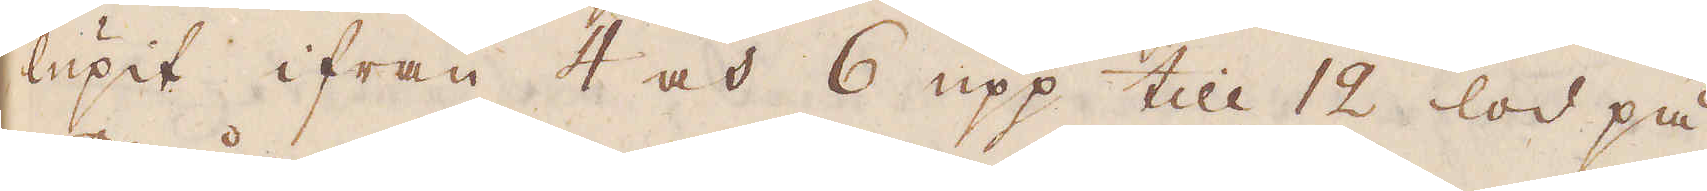lupit ifrån 4 och 6 upp till 12 lod på
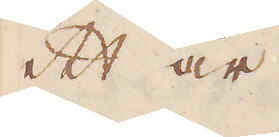ett år.
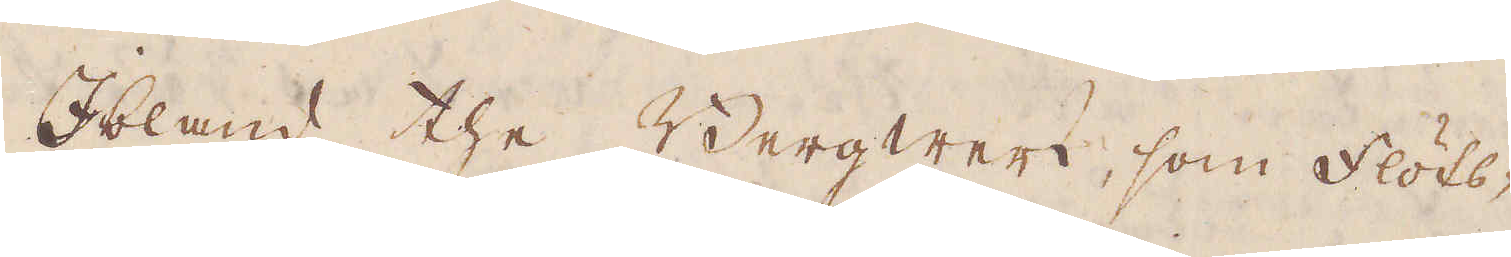Ibland the Bergwerk, som Flöts-
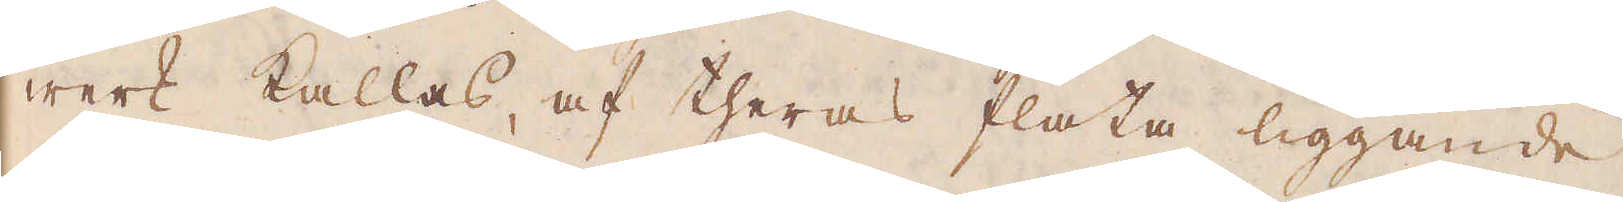werk kallas, af theras flata liggande
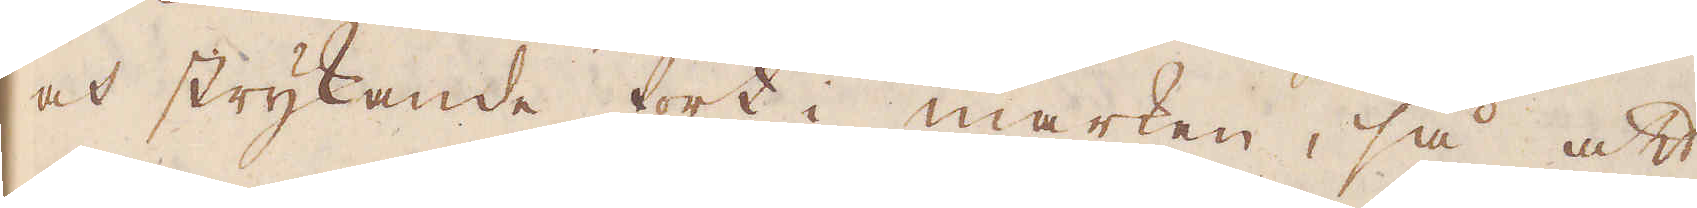och strykande fort i marken, så att
